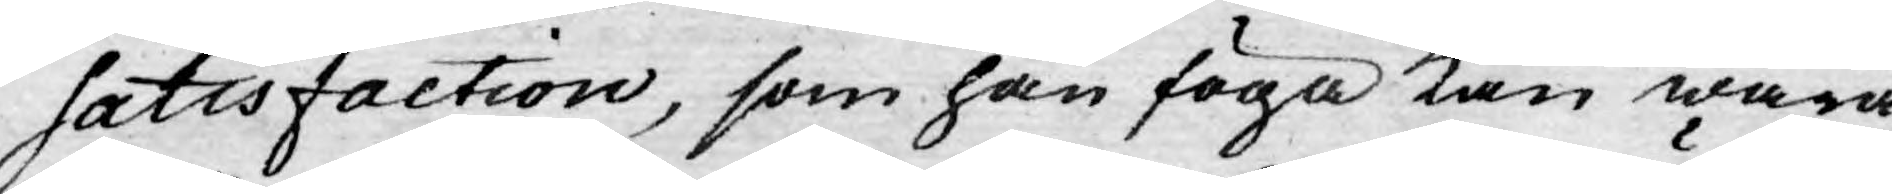satisfaction, som han föga kan wara
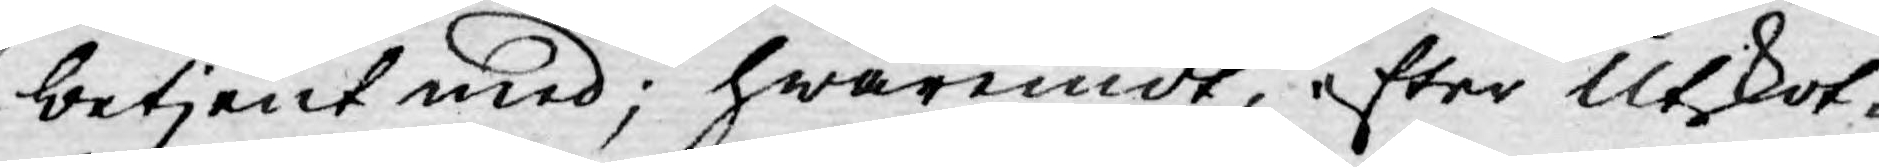betjent med; hwaremot, efter Utskot¬
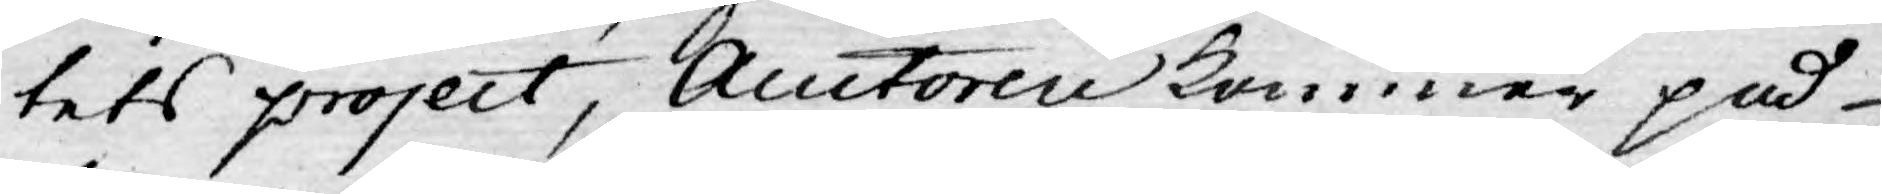tets project, Auctoren kommer på
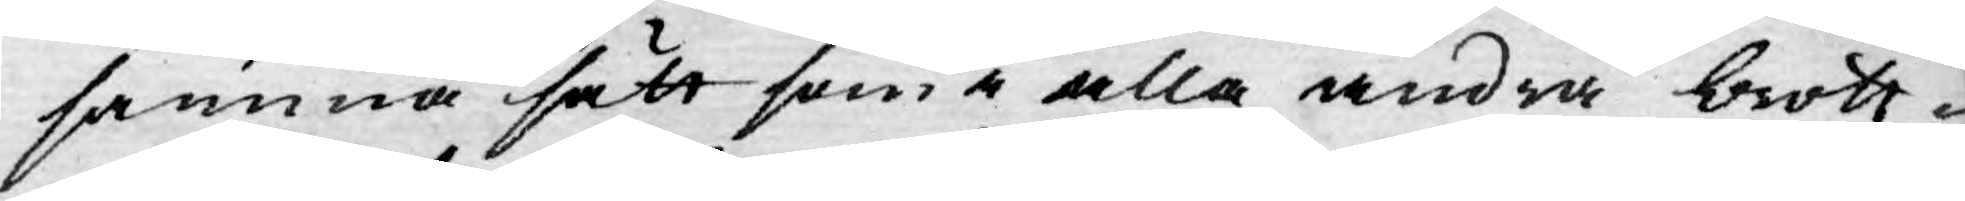samma sätt som i alla andra brott¬
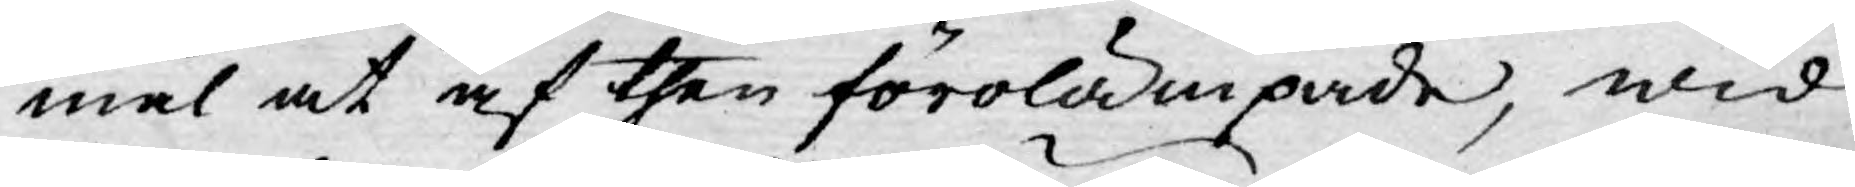mål at af then förolämpade, wid
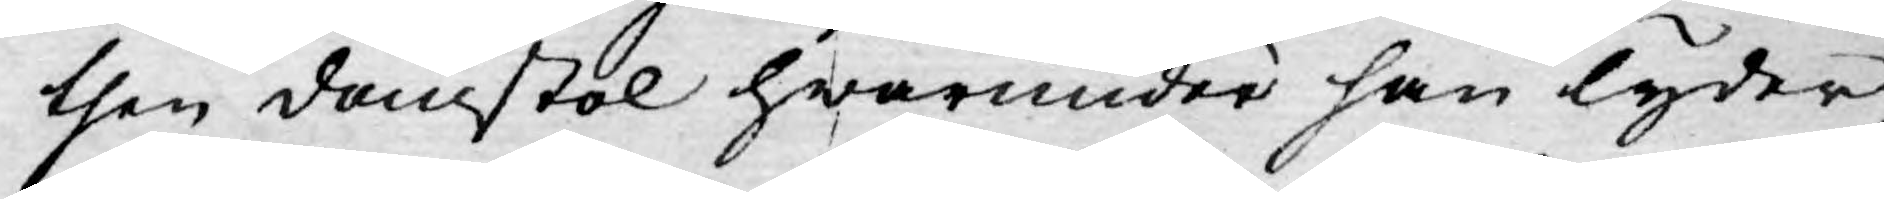then domstol hwarunder han lyder,
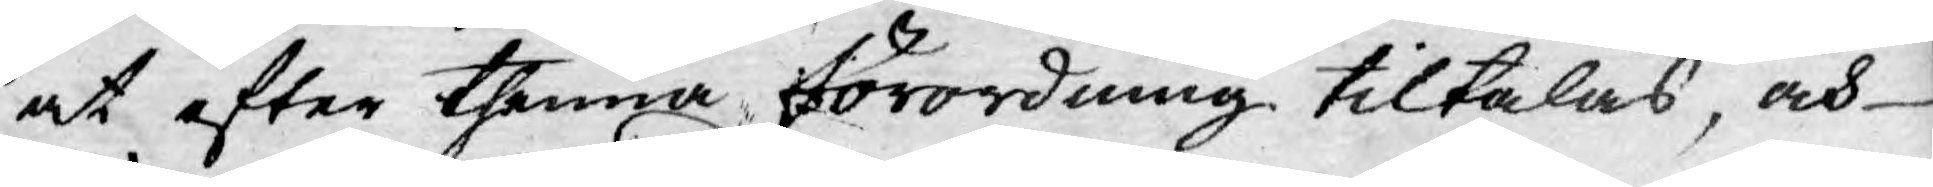at efter thenna förordning tiltalas, och
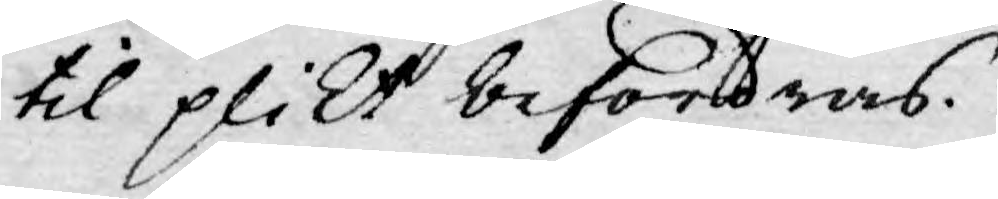til plikt befordras.
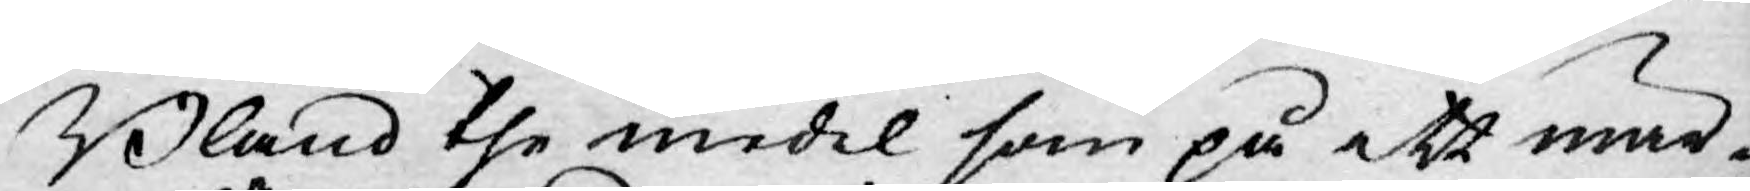Bland the medel som på ett mär¬
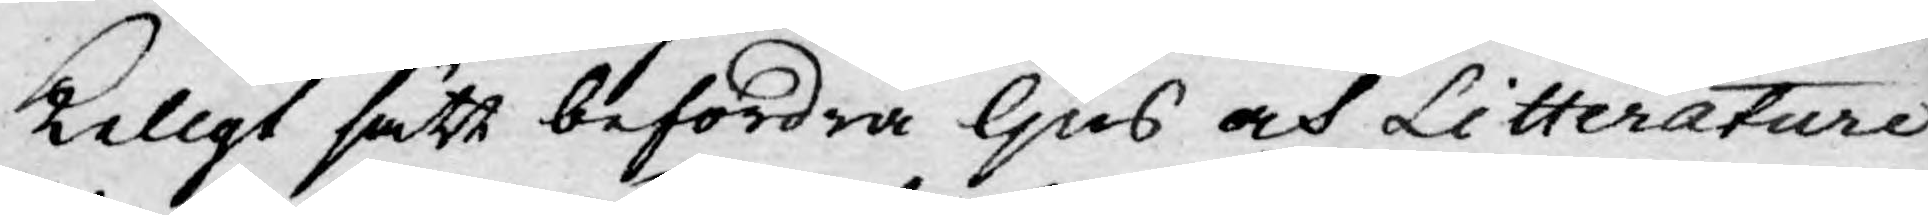keligt sätt befordra ljus och Litterature
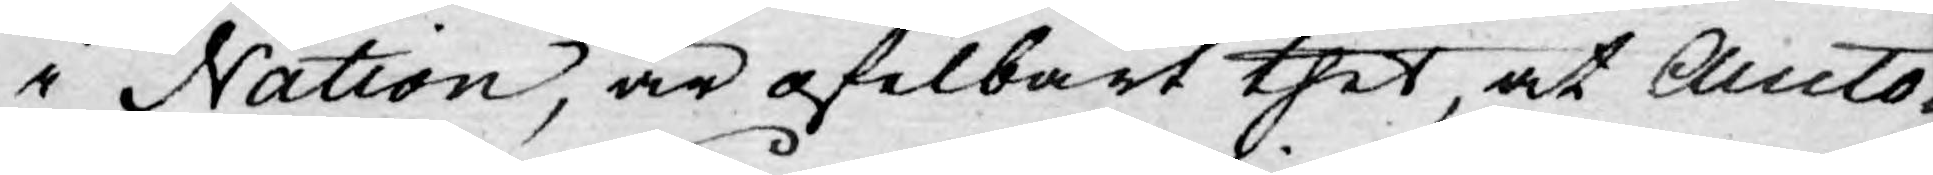i Nation, är ofelbart thet, at Aucto¬
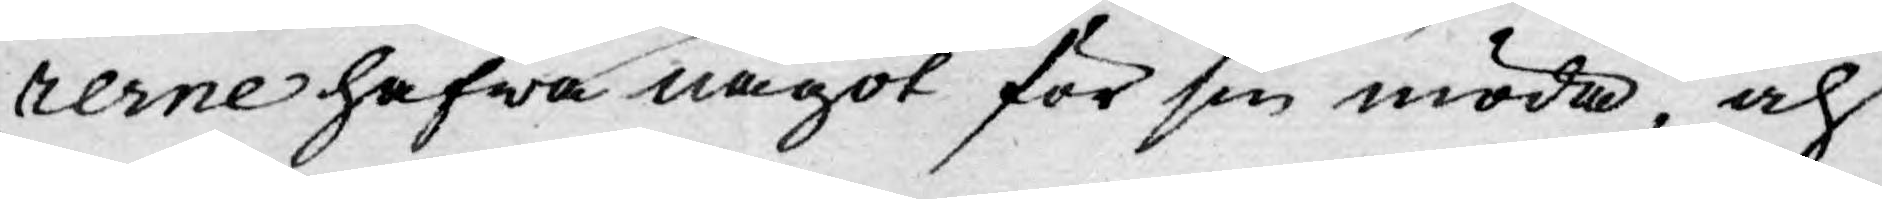rerne hafwa något för sin möda, och
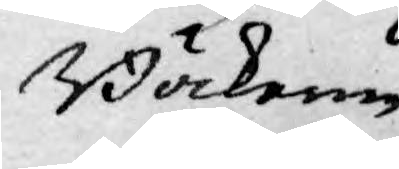Böckerne
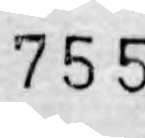755
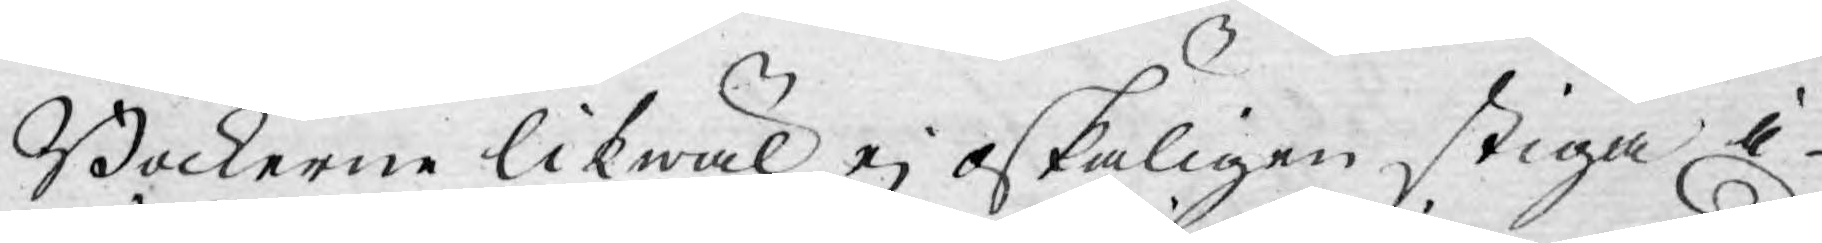Böckerne likwäl ej oskäligen stiga i
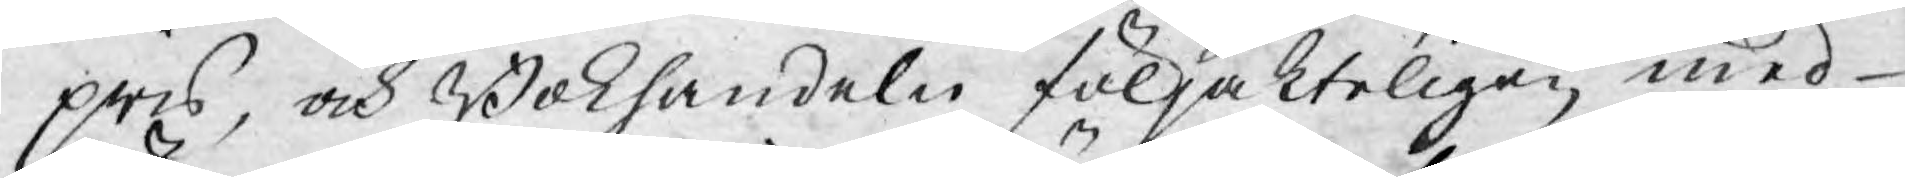pris, och Bokhandeln följakteligen med
